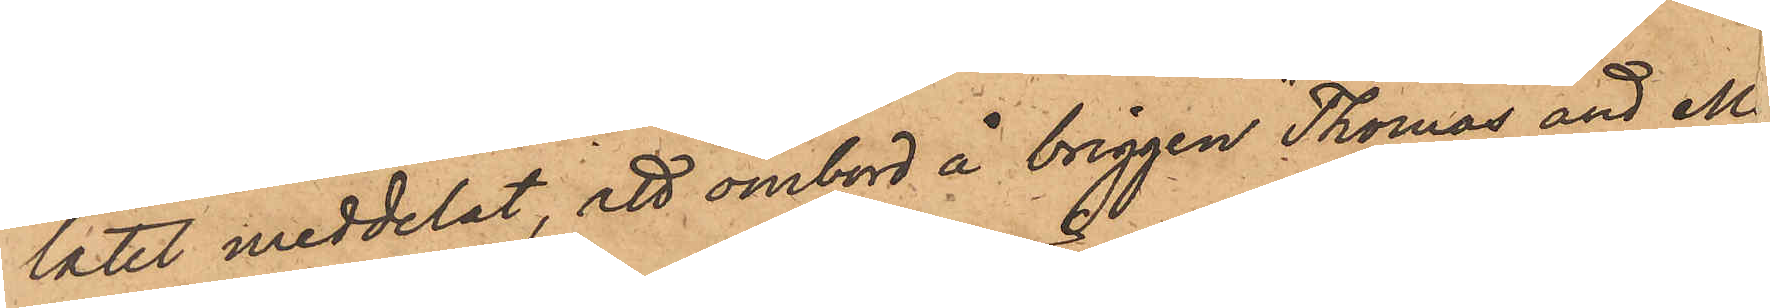latet meddelat, att ombord å bringen "Thomas and M
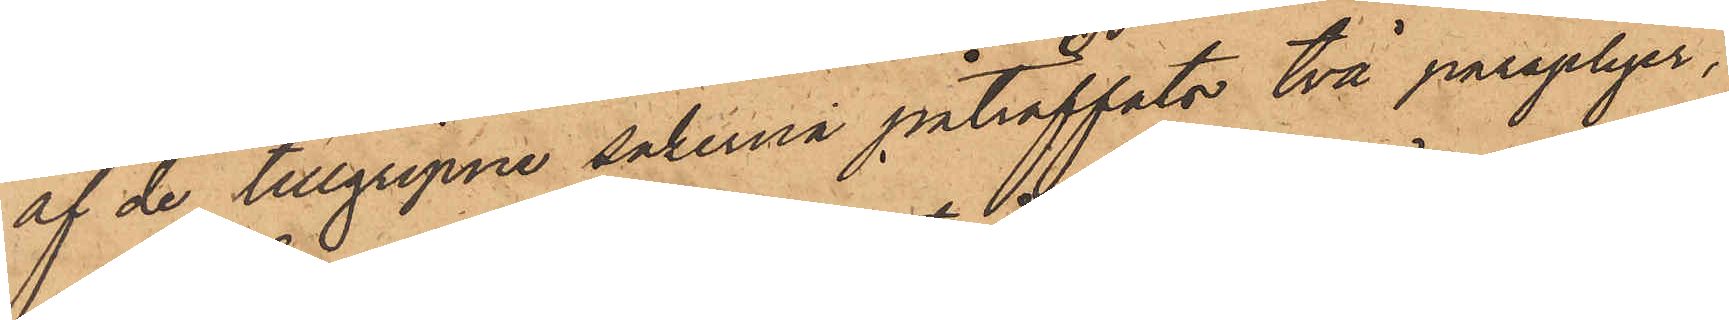af de tillgripne sakerna påträffats två paraplyer,
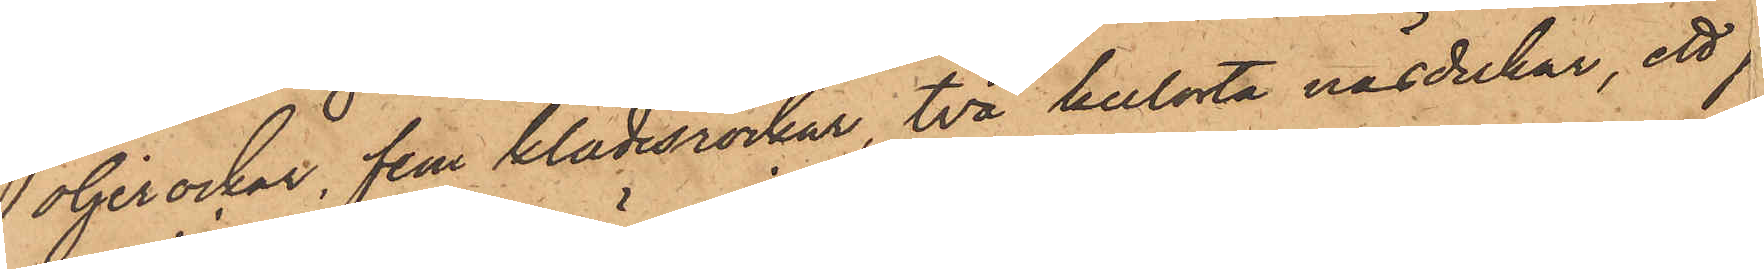oljerockar, fem klädesrockar, två kulörta näsdukar, ett 
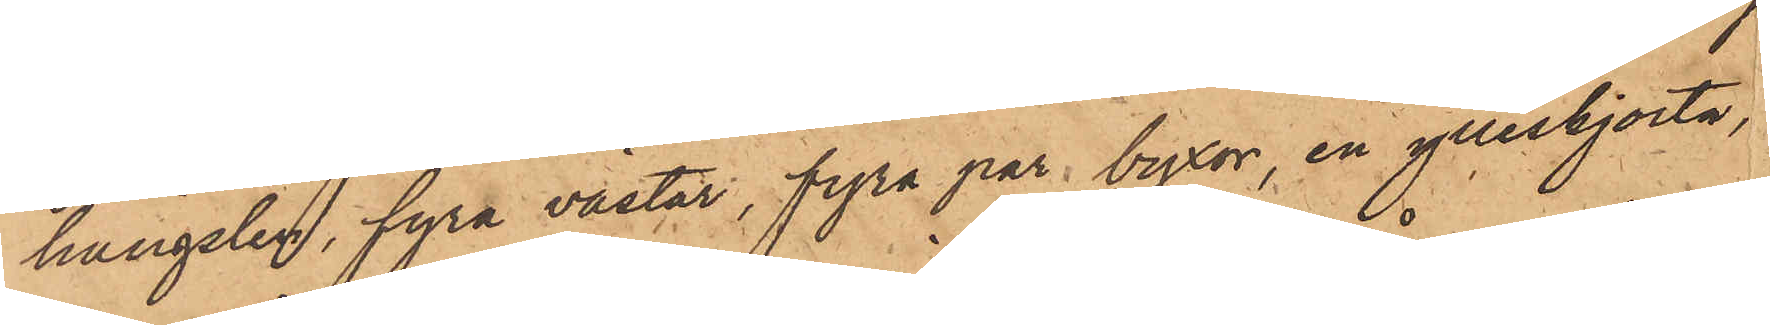hängslen, fyra västar, fyra par byxor, en ylleskjorta,
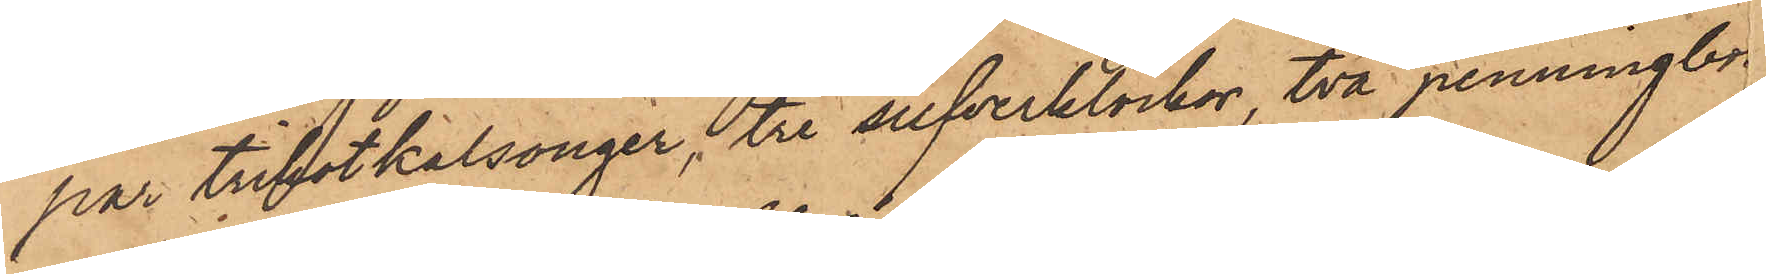par trikotkalsonger, tre silfverklockor, två penningbe
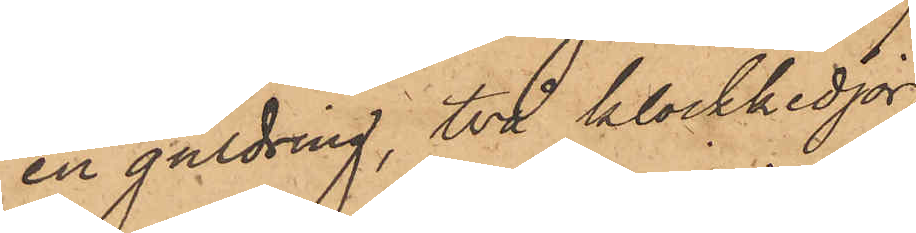en guldring, två klockkedjor,
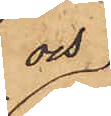och
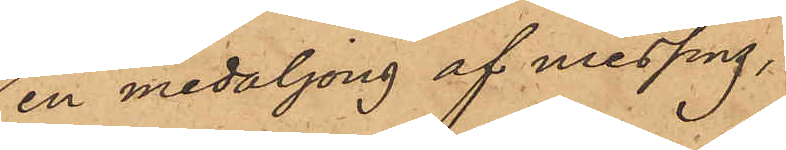en medaljong af messing,
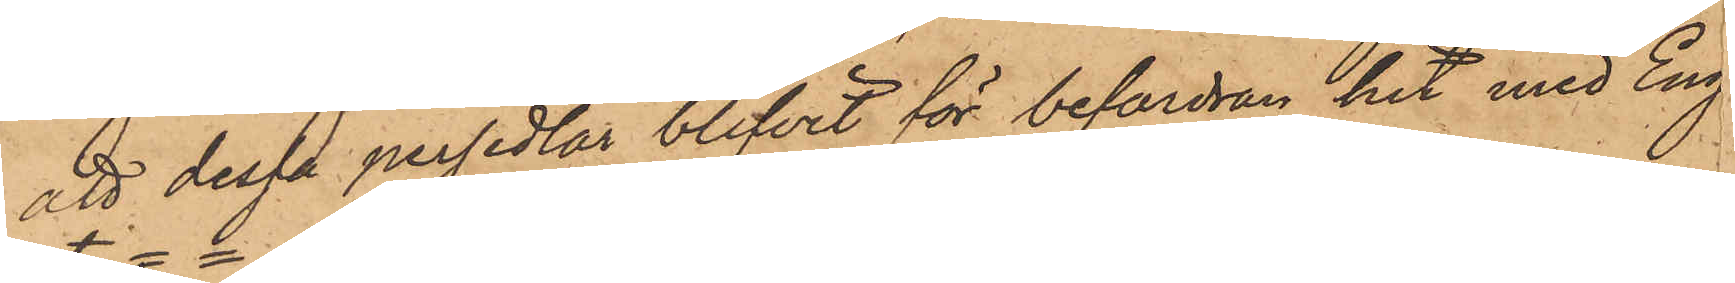att dessa persedlar blifvit för befordran hit med Eng
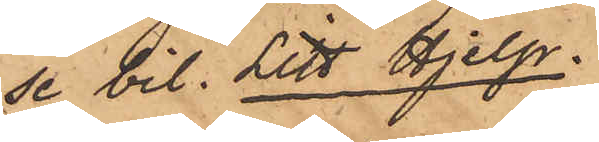se bil. Litt Hjelp.
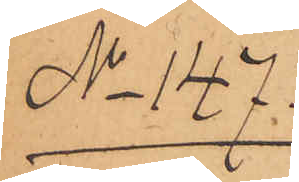No 147.
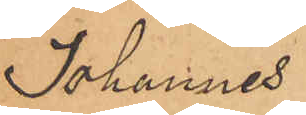Johannes
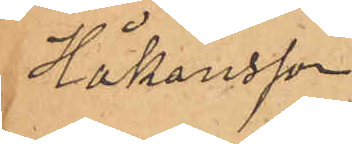Håkansson
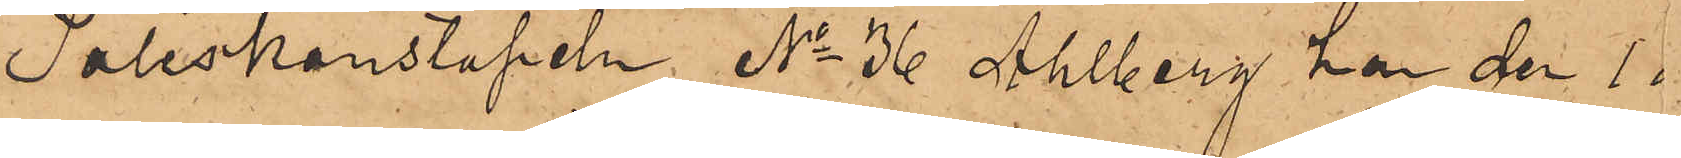Poliskonstapeln No 36 Ahlberg har den 1 
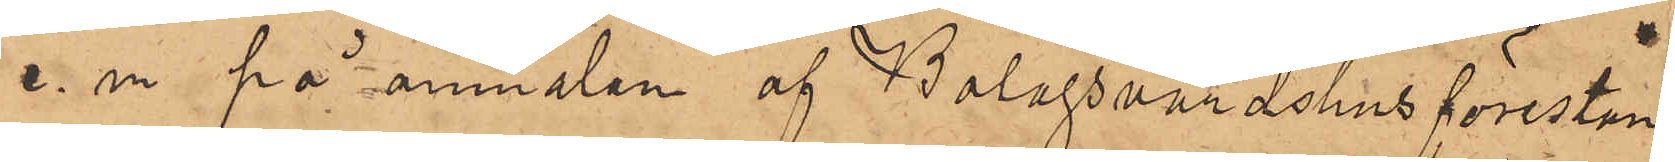e. m. på anmälan af Bolagsvärdshusförestån
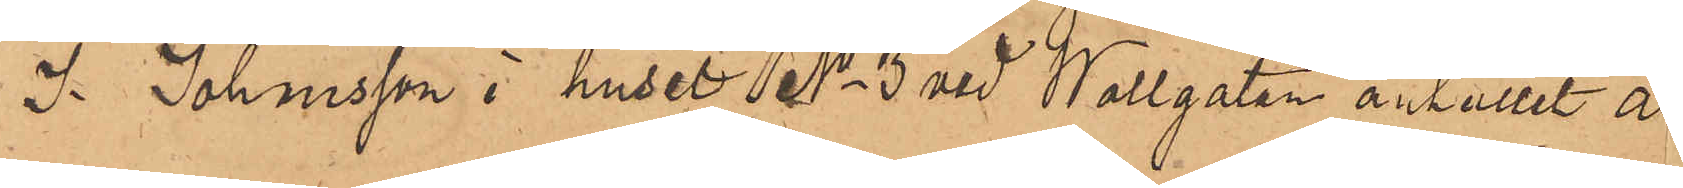J. Johansson i huset No 3 vid Wallgatan anhållit a
